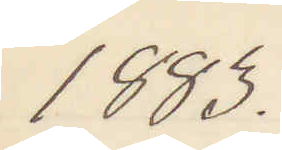1883.
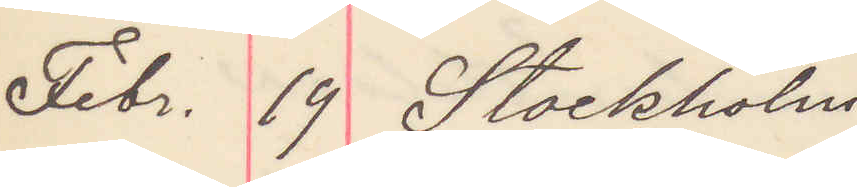Febr. 19 Stockholm
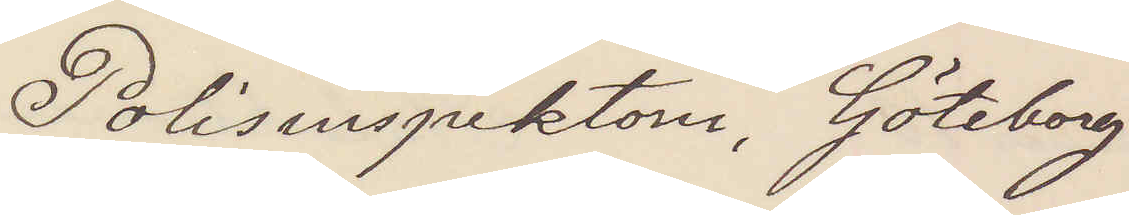Polisinspektorn, Göteborg
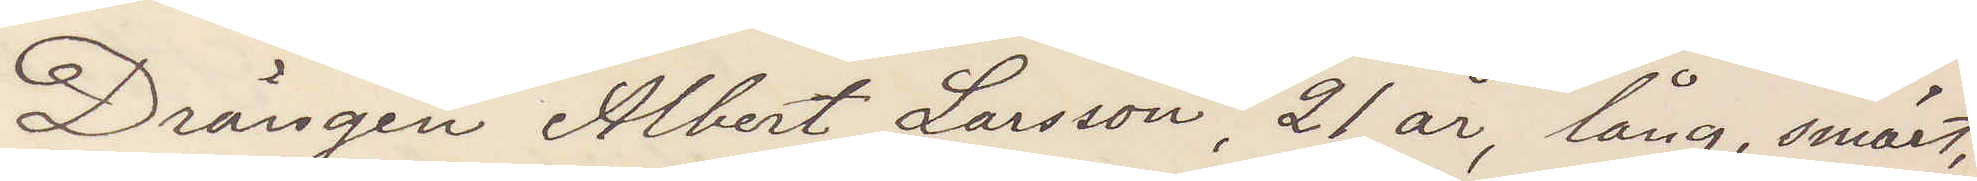Drängen Albert Larsson, 21 år, lång, smärt,
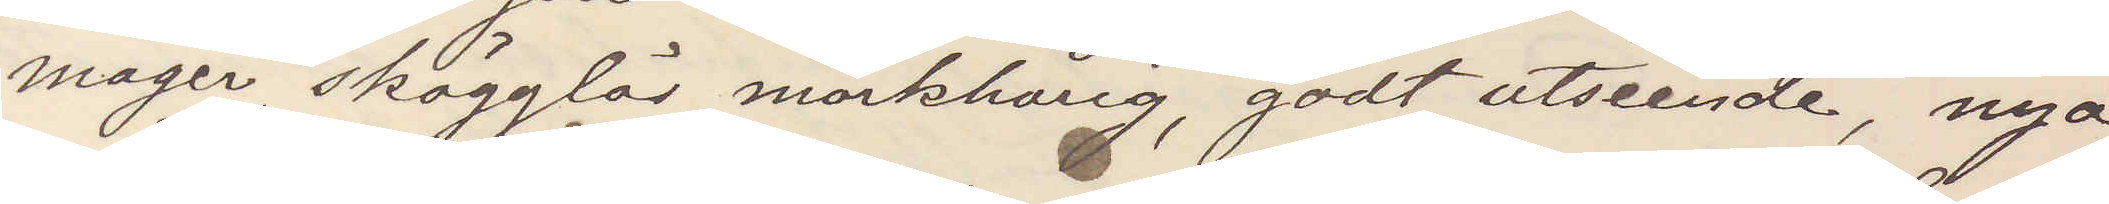mager, skägglös, mörkhårig, godt utseende, nya
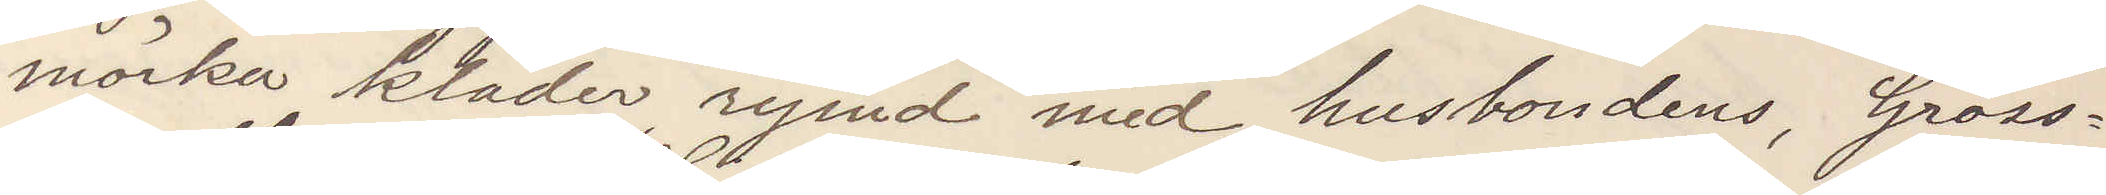mörka kläder, rymd med husbondens, Gross¬
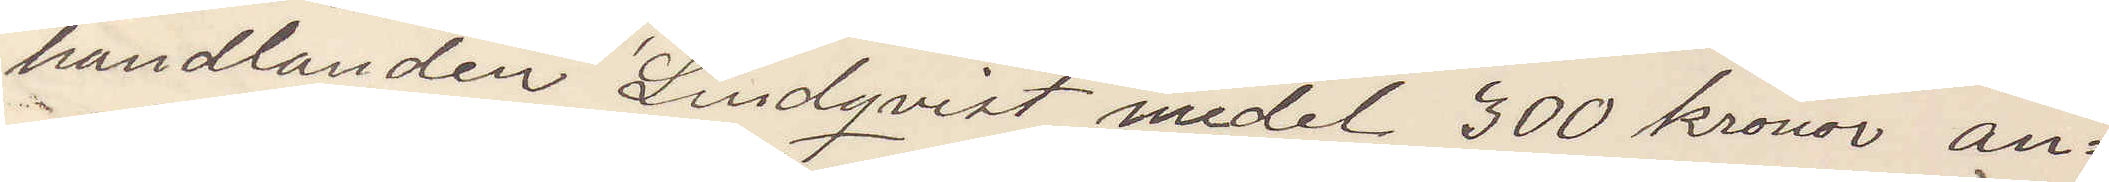handlanden Lindqvist medel 300 kronor an¬
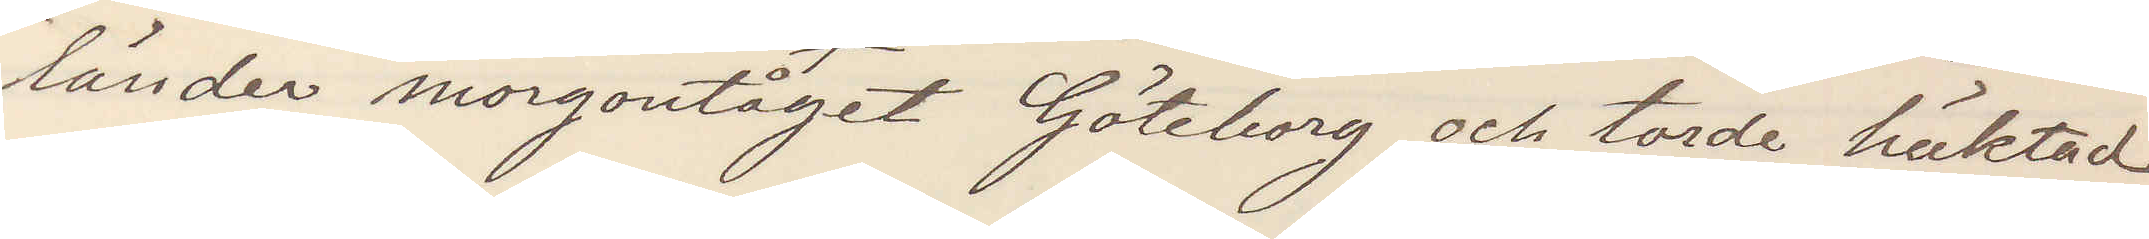länder morgontåget Göteborg och torde häktad
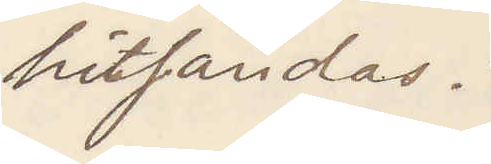hitsändas.
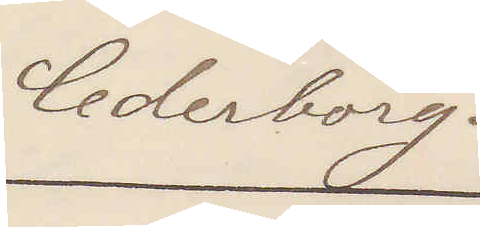Cederborg.
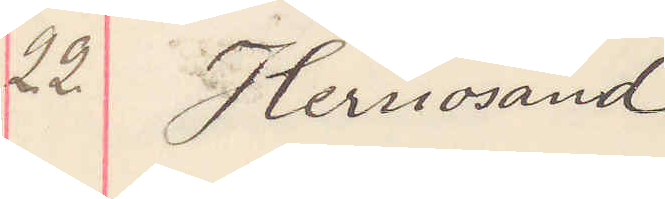22 Hernösand
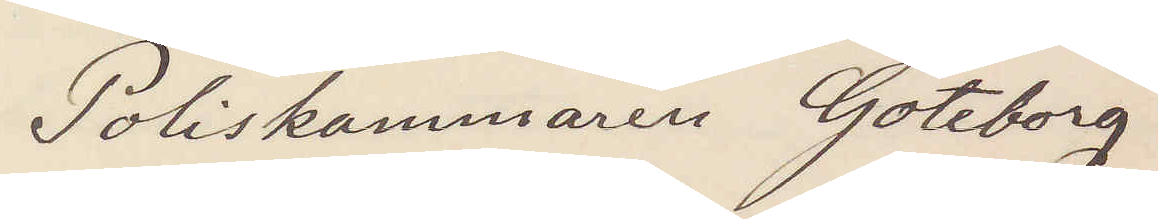Poliskammaren Göteborg
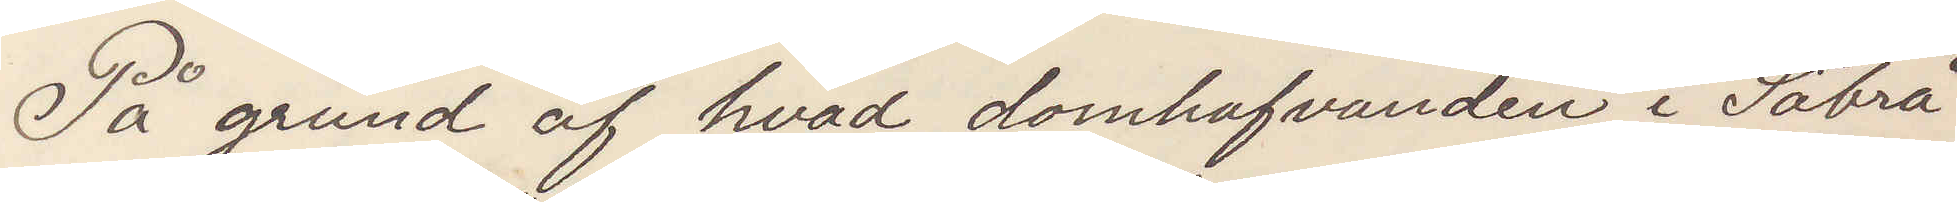På grund af hvad domhafvanden i Säbrå
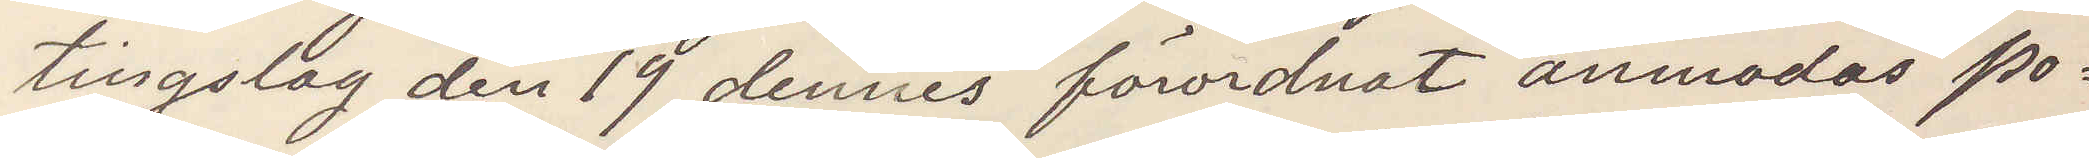tingslag den 19 dennes förordnat anmodas Po¬
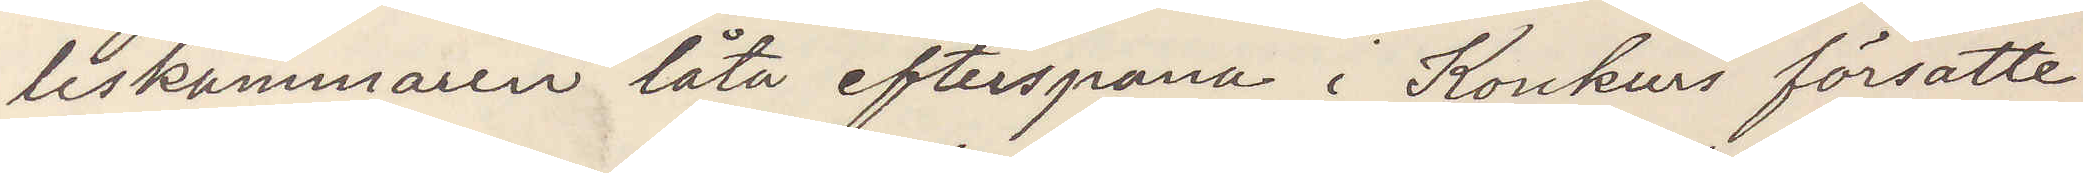liskammaren låta efterspana i Konkurs försatte
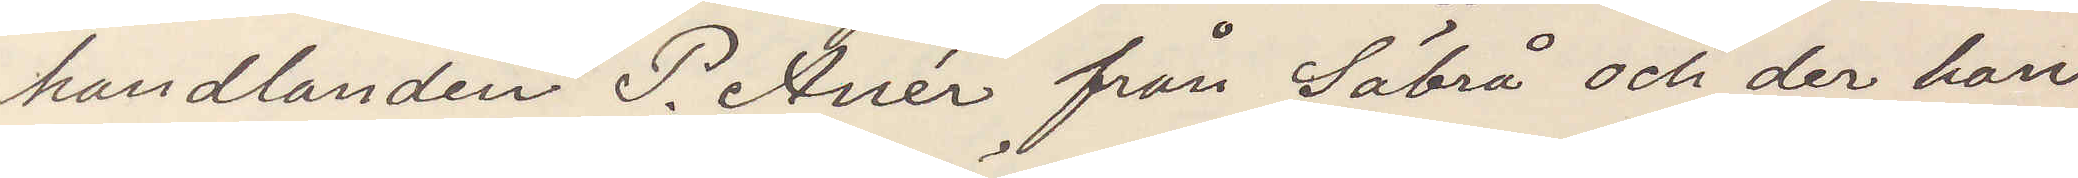handlanden P. Anér från Säbrå och der han
